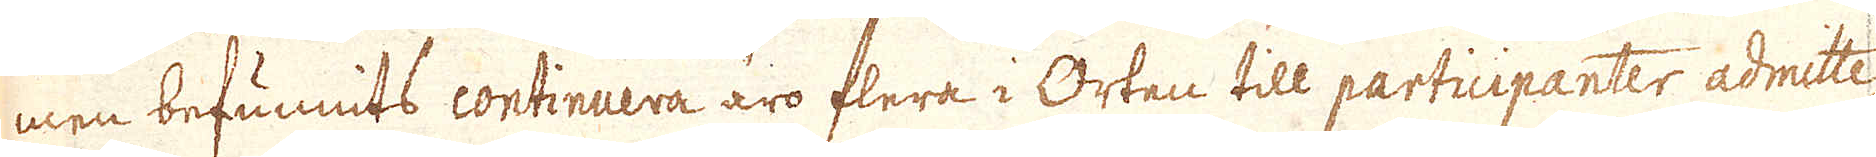men befunnits continuera äro flera i Orten till participanter admitte-
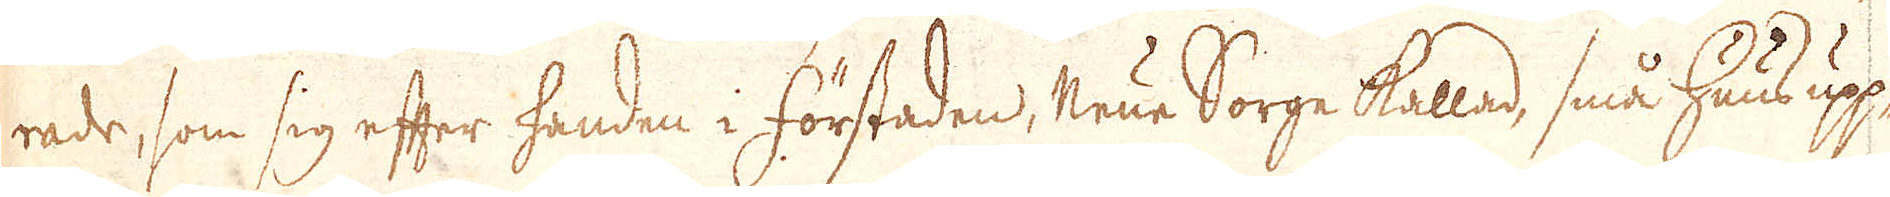rade, som sig efter handen i förstaden, Neue Sorge kallad, små huus upp-
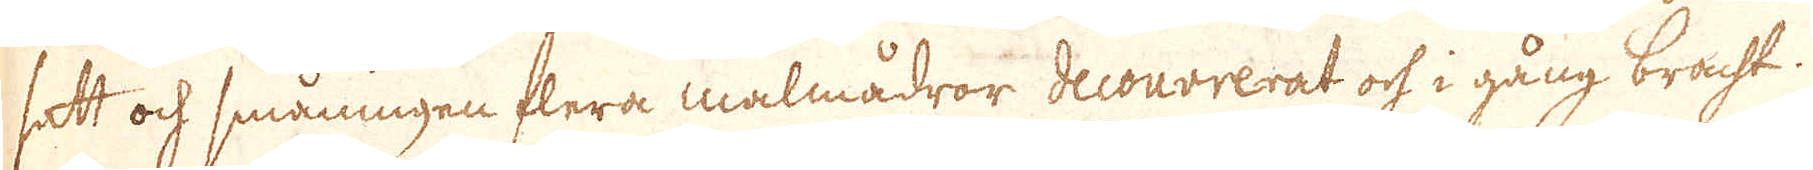satt och småningen flera malmådror decouvrerat och i gång bracht.
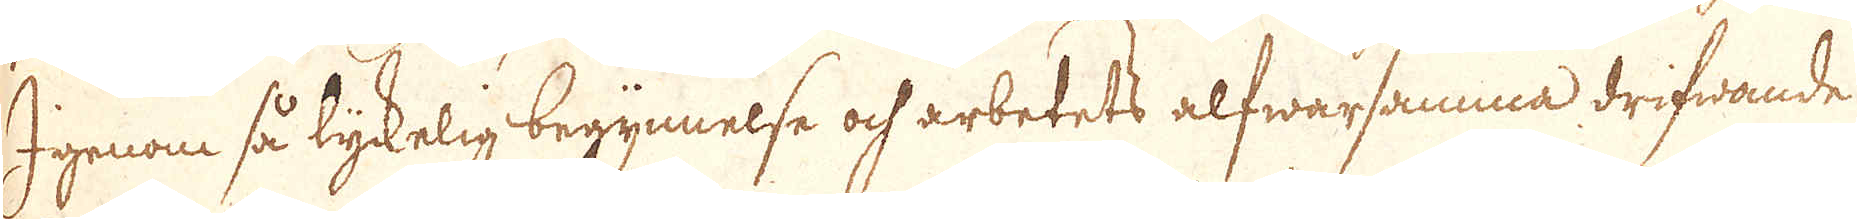Igenom så lyckelig begynnelse och arbetets alfwarsamma drifwande
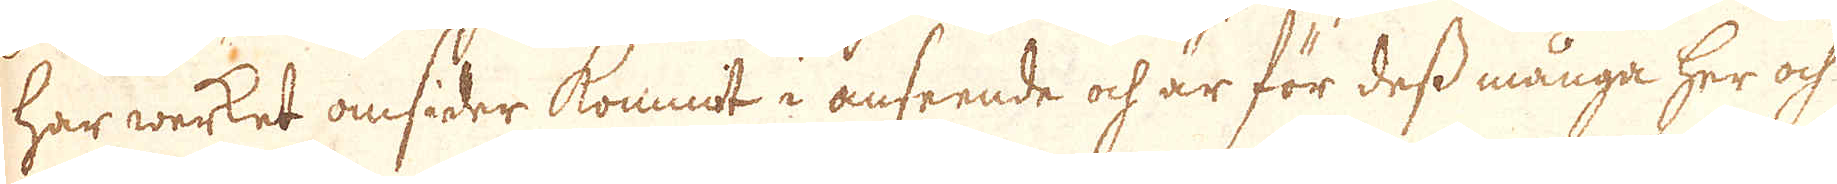har werket omsider kommit i anseende och är för dess många her och
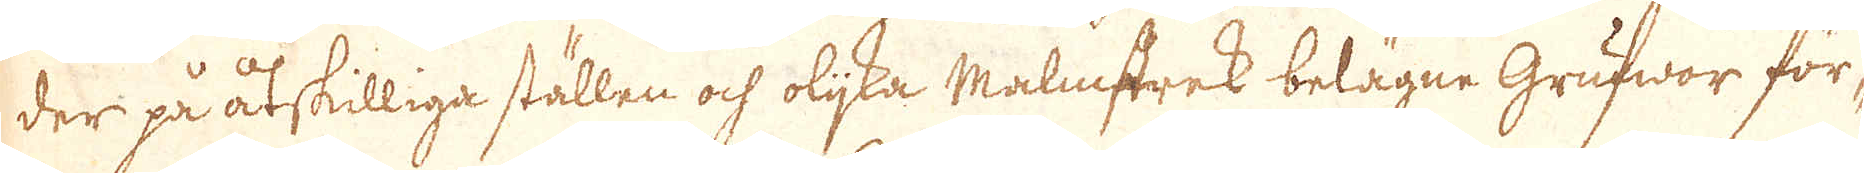der på åtskilliga ställen och olijka Malmstrek belägne Grufwor för-
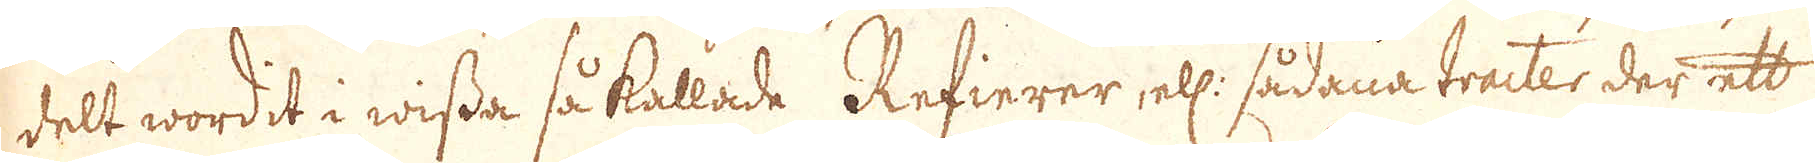delt wordit i wissa så kallade Refierer, ell: sådana tracter, der ett
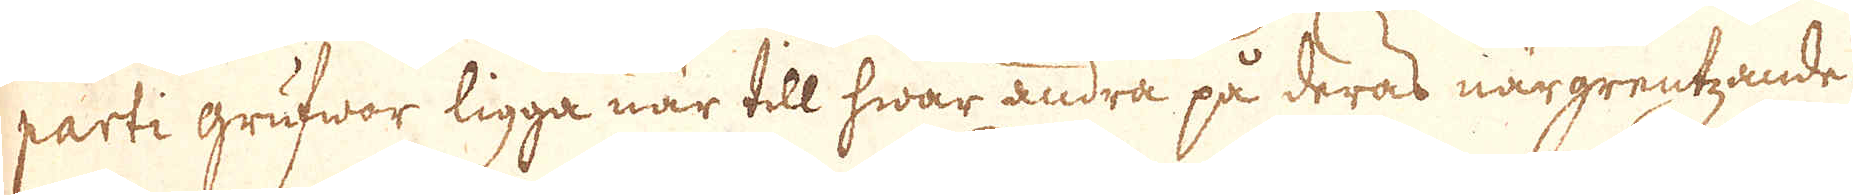parti grufwor ligga när till hwar andra på deras närgrentzande
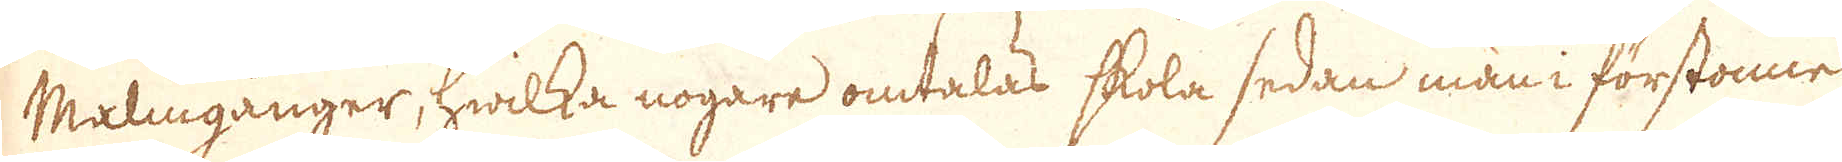Malmgånger, hwilka nogare omtalas skola sedan man i förstonne
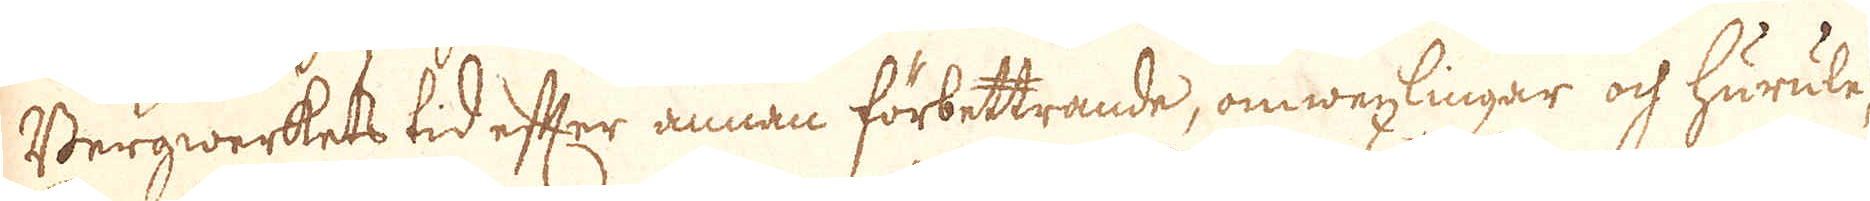Bergwerkets tid efter annan förbettrande, omwexlingar och hurule-
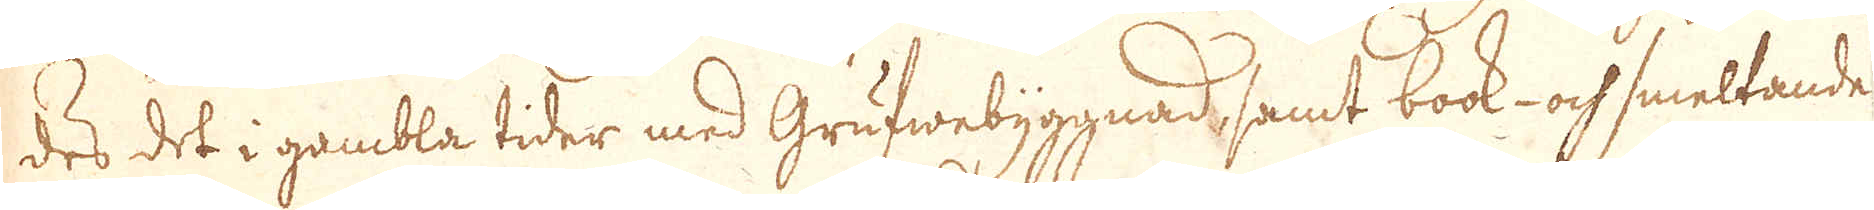des det i gambla tider med Grufwebyggnad, samt bock- och smeltande
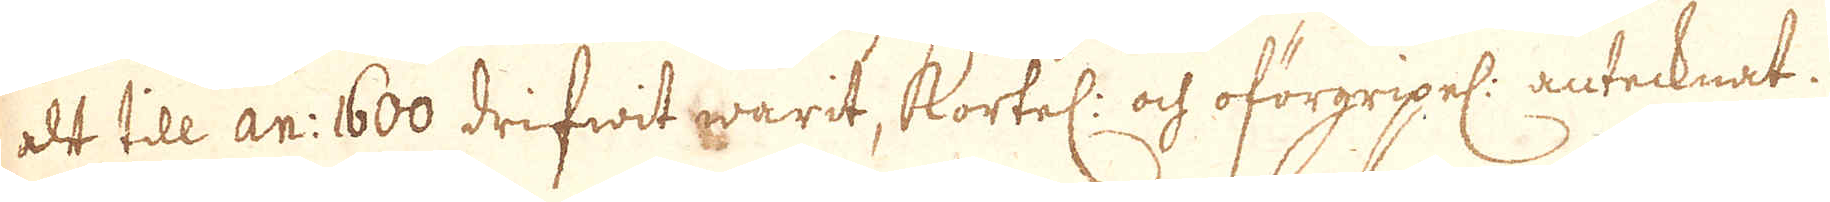alt till an: 1600 drifwit warit, Kortel: och oförgripel: antecknat.
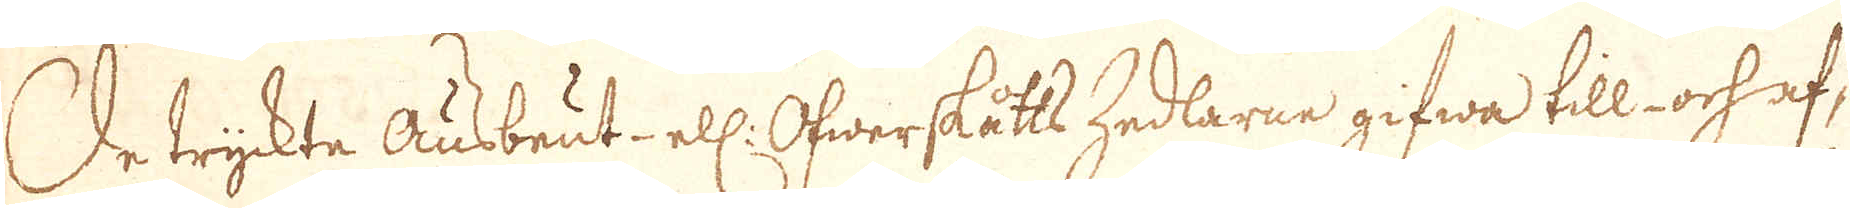De tryckte ausbeut- ell: Öfwerskåtts Zedlarne gifwa till- och af-
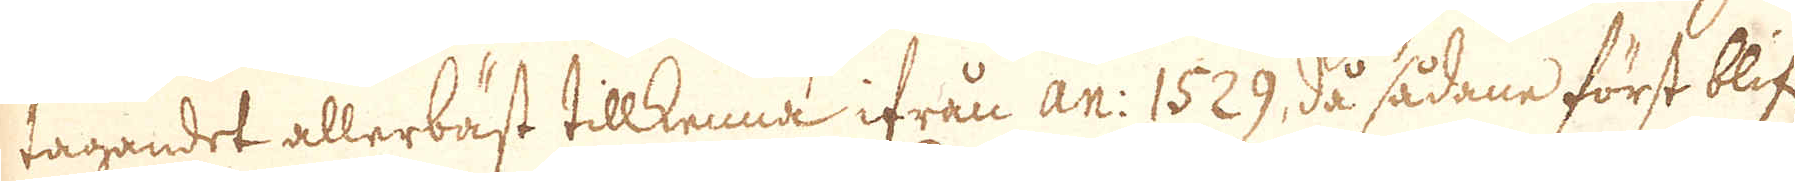tagandet allerbäst tillkenna ifrån An: 1529, då sådane först blif:t
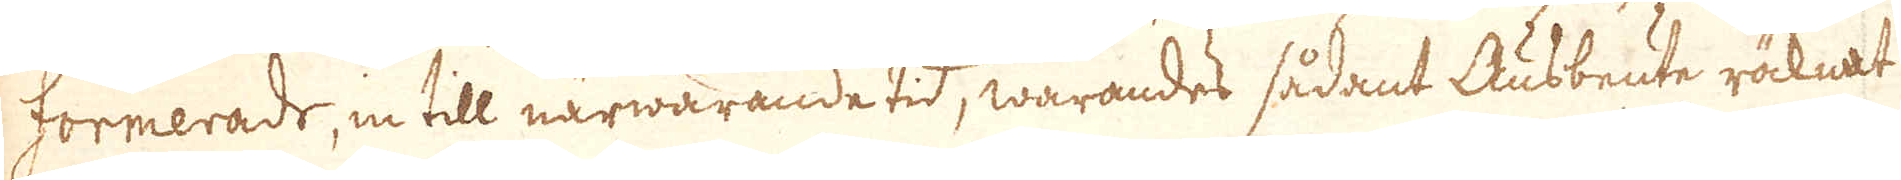formerade, in till närwarande tid, warandes sådant Ausbeute räcknat
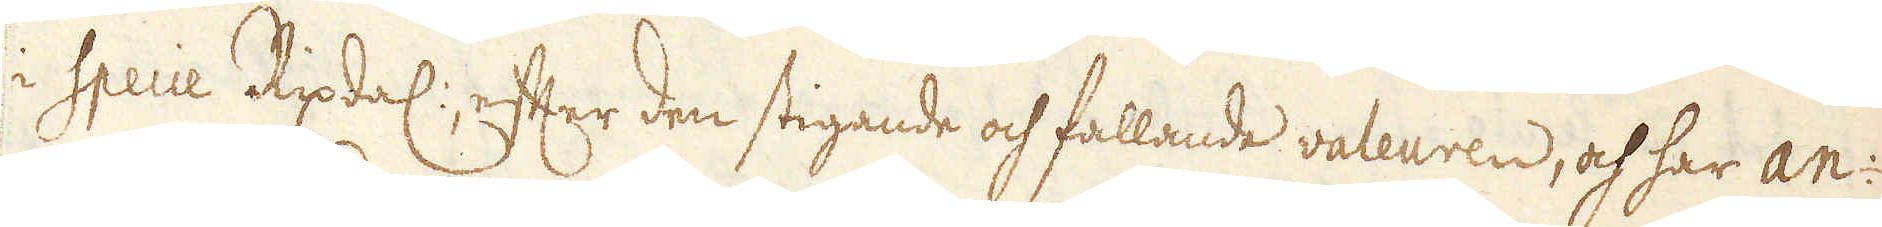i Specie Rixdal: efter den stigande och fallande valeuren, och har an:
